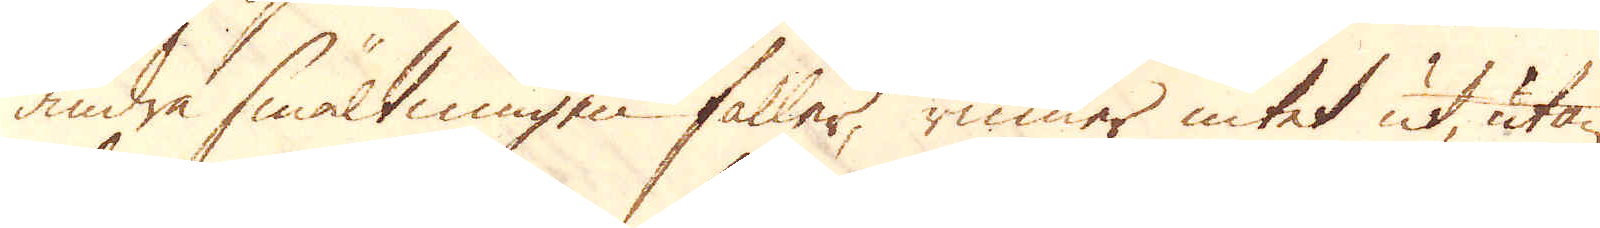andra smältningen faller, rinner intet ut, utan
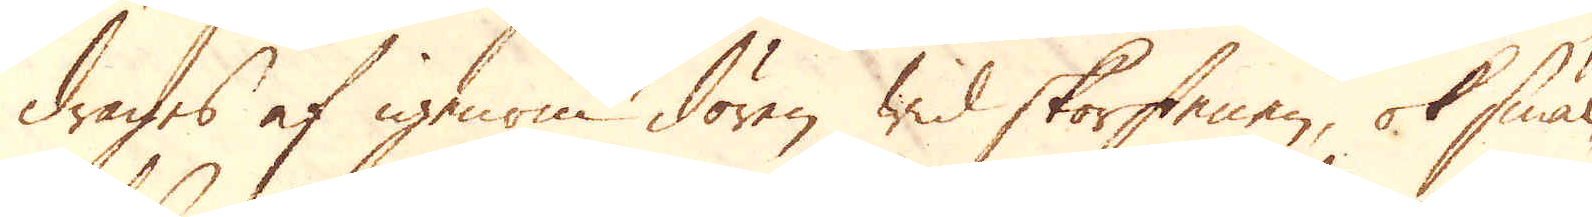drages af igenom dören wid skorstenen, ok smäl-
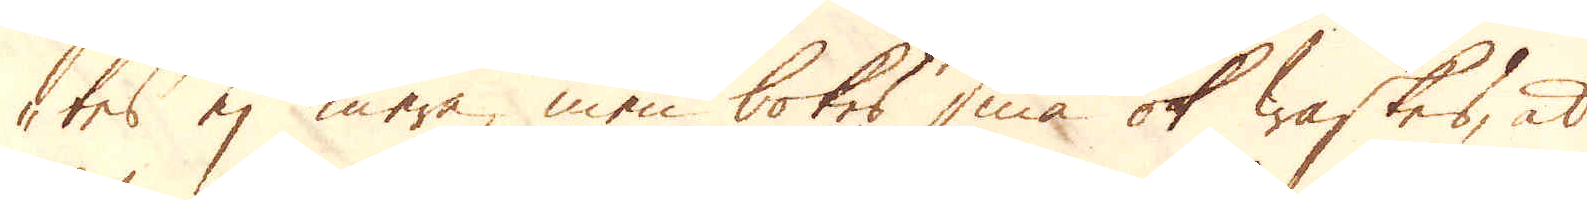tes ej mera, men bokes små ok waskes, at
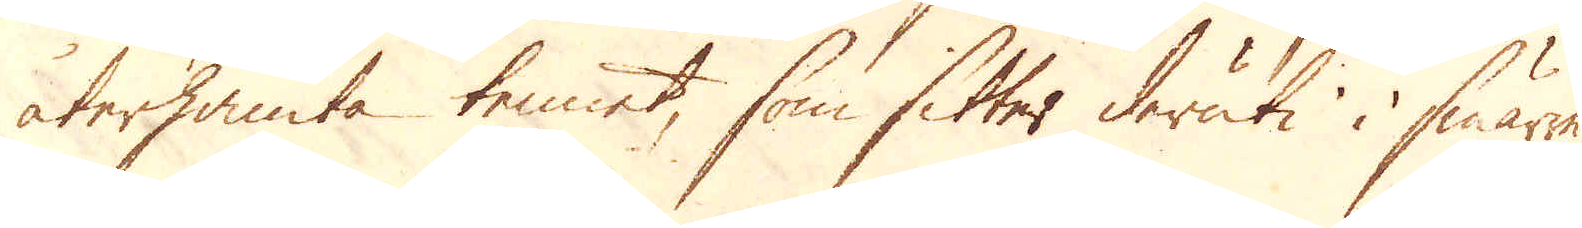återhämta tennet, som sitter deruti i smärre
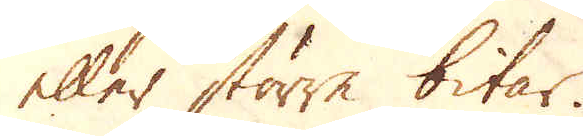eller större bitar.
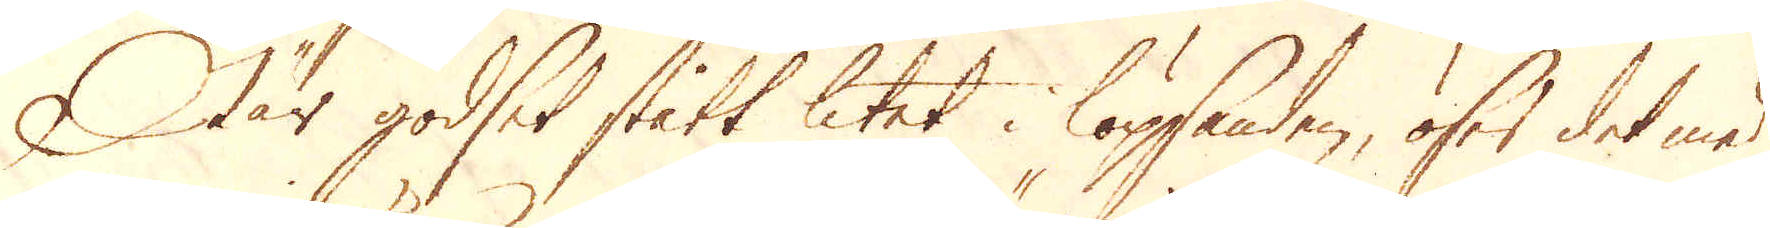När godset stått litet i löpsanden, öser det med
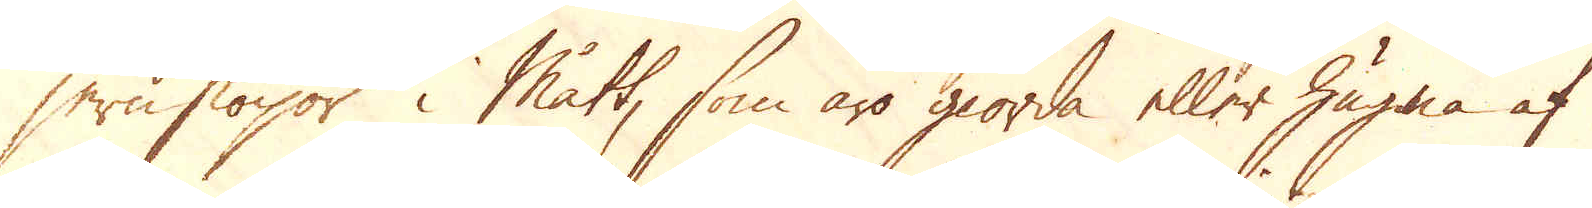jernskopor i mått, som äro giorda eller huggna af
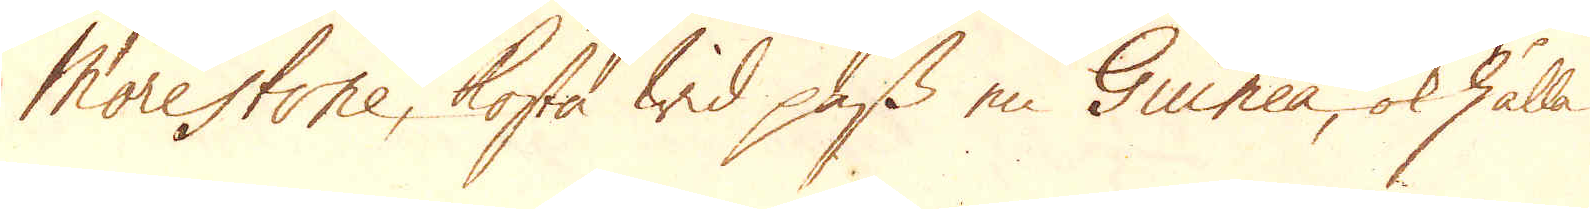Morestone, kosta wid pass en Guinea, ok hålla
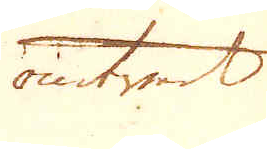omtrent
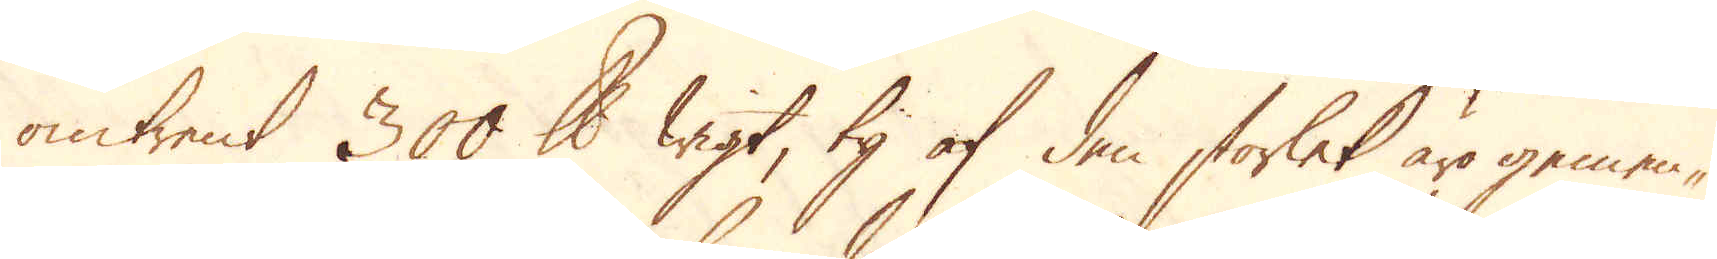omtrent 300 skålpund wigt, ty af den storlek äro gemen-
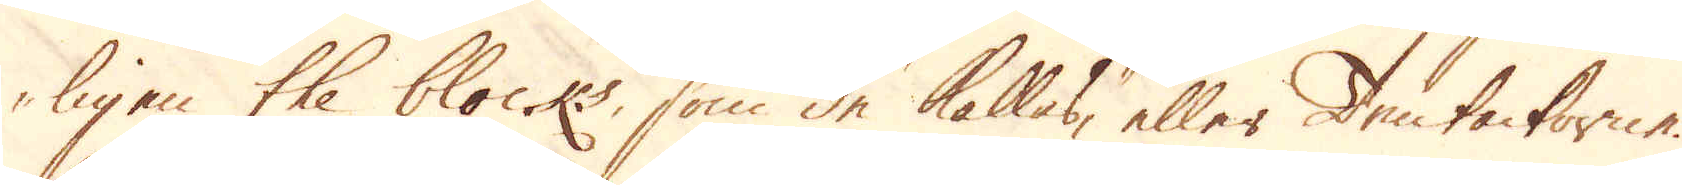ligen the blocks, som de kallas, eller Tentackorne.
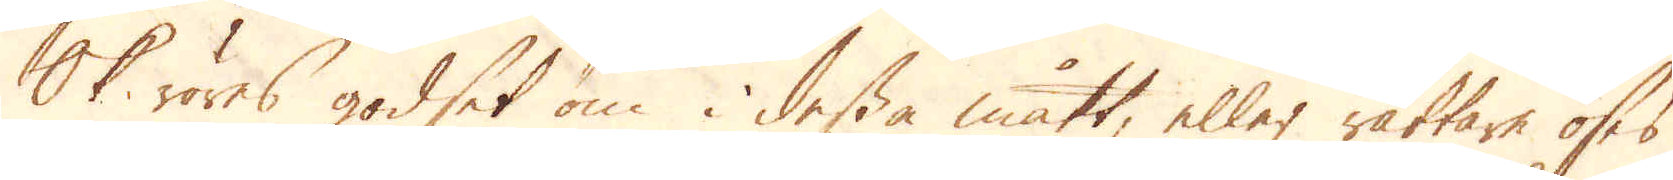Ok röres godset om i dessa mått, eller rättare öses
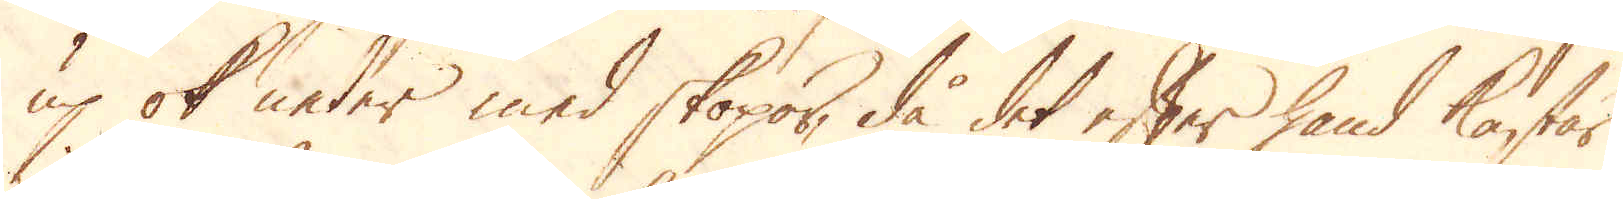up ok neder med skopor, då det efter hand kastar
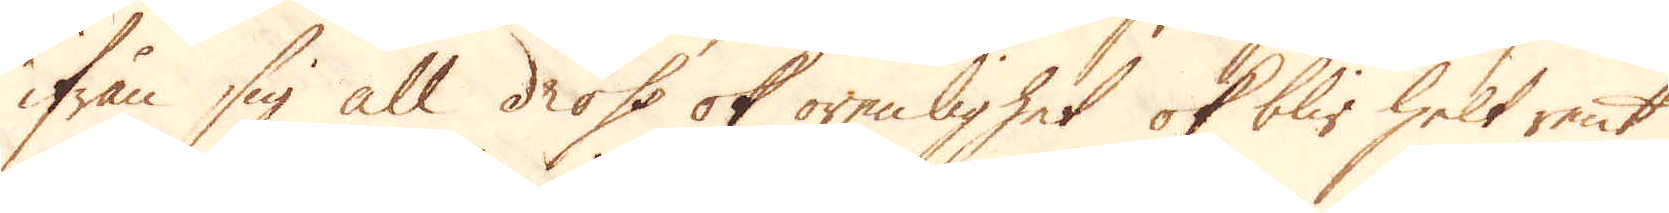ifrån sig all dross ok orenlighet ok blir helt rent
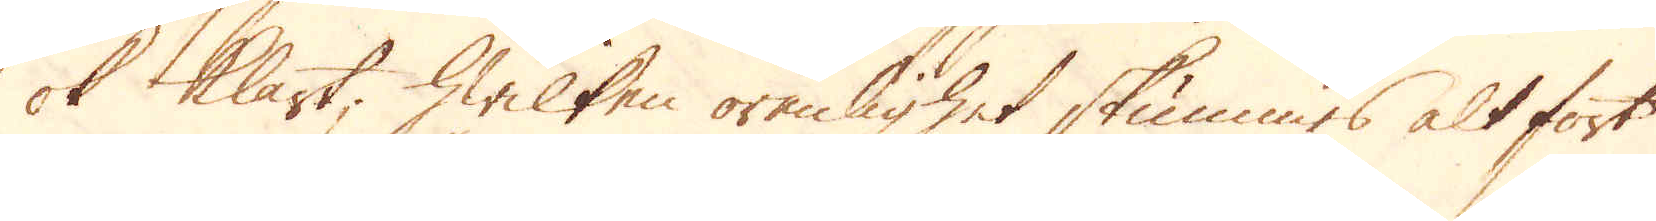ok klart; Hwilken orenlighet skummas alt fort
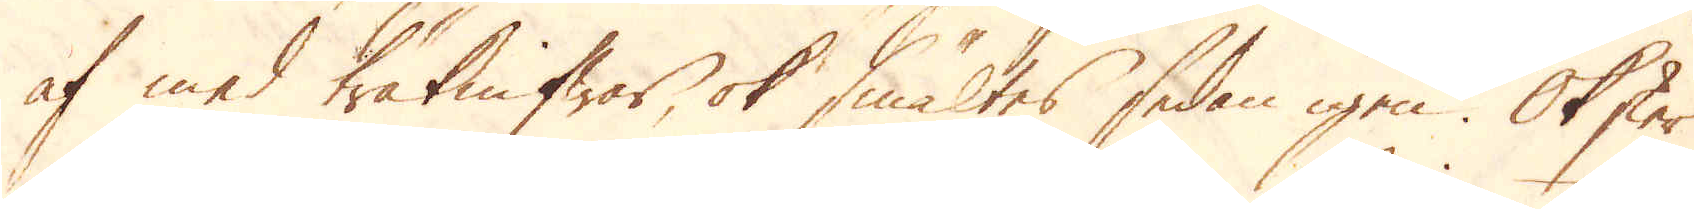af med träknifwar, ok smältes sedan igen. Ok sker
